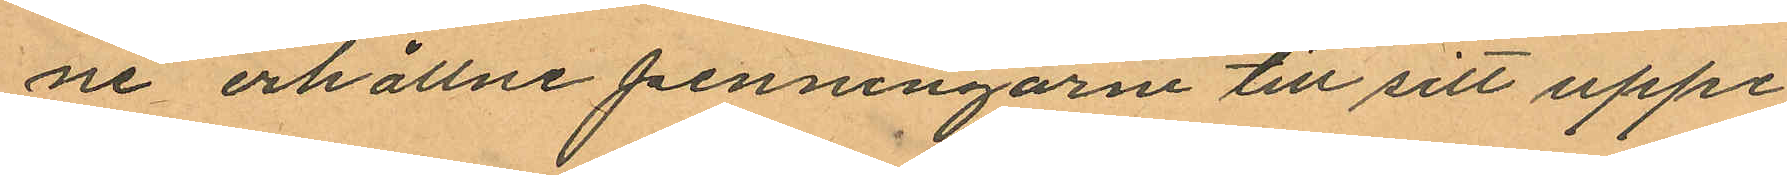ne erhållne penningarne till sitt uppe¬
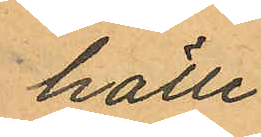hälle
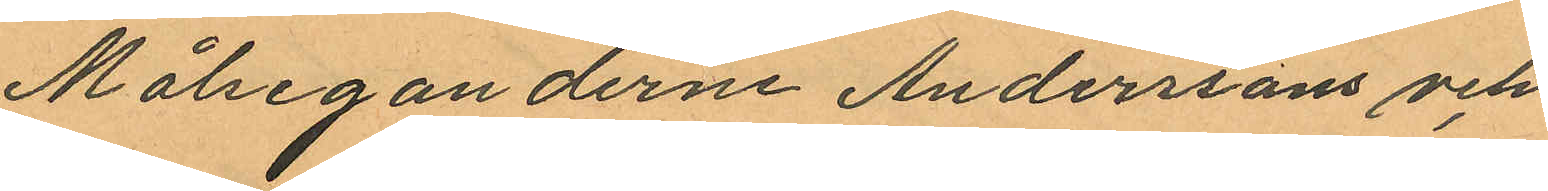Målseganderne Anderssons och
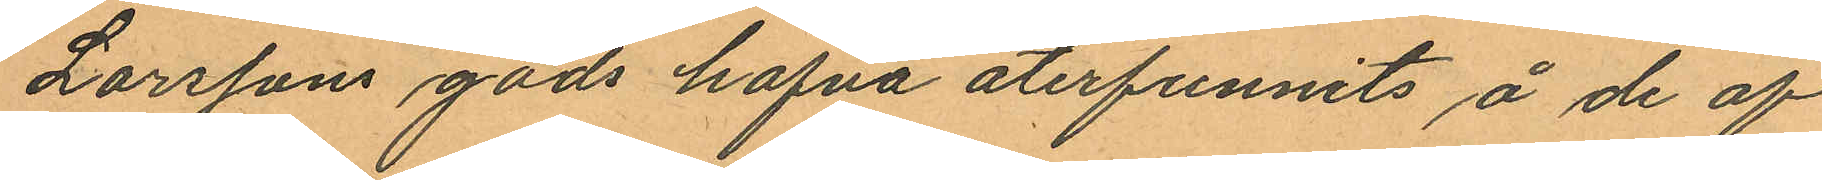Larssons gods hafva återfunnits å de af
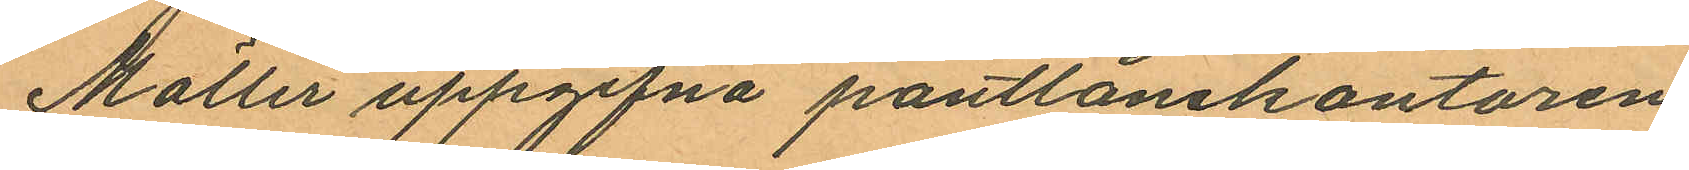Möller uppgifna pantlånekontoren.
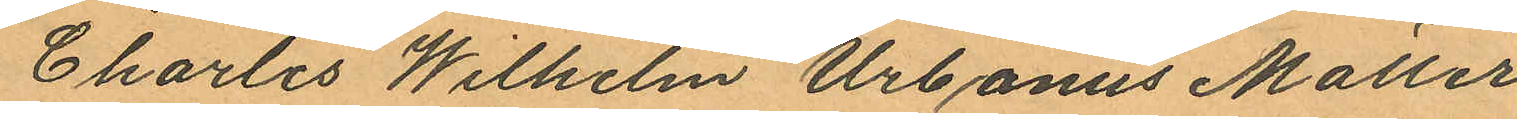Charles Wilhelm Urbanus Möller
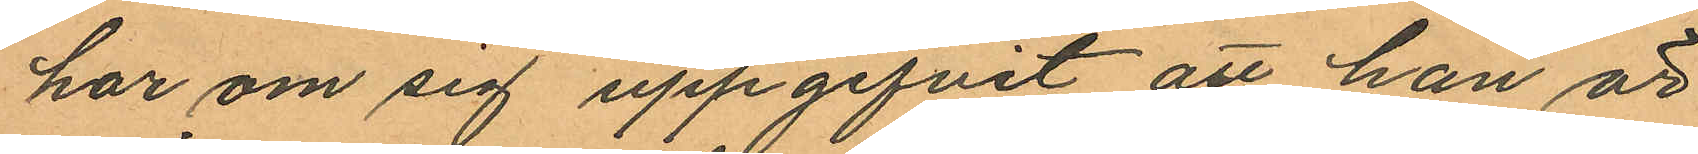har om sig uppgifvit att han är
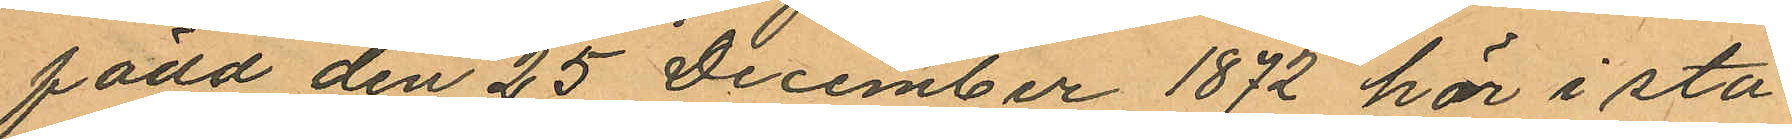född den 25 December 1872 här i sta¬
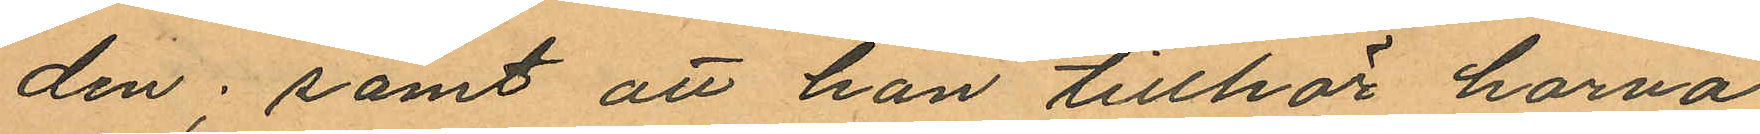den; samt att han tillhör harva¬
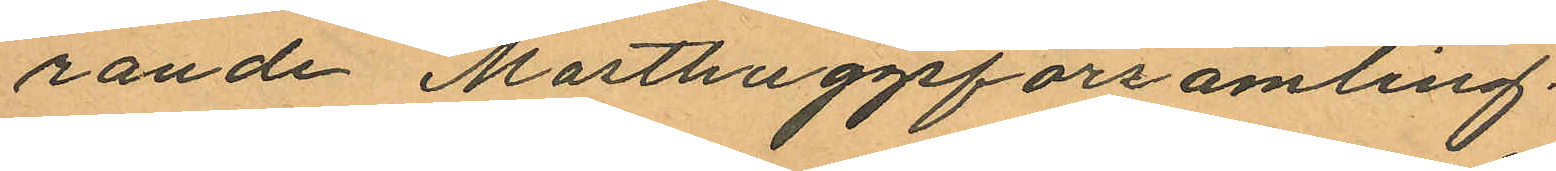rande Masthuggsförsamling.
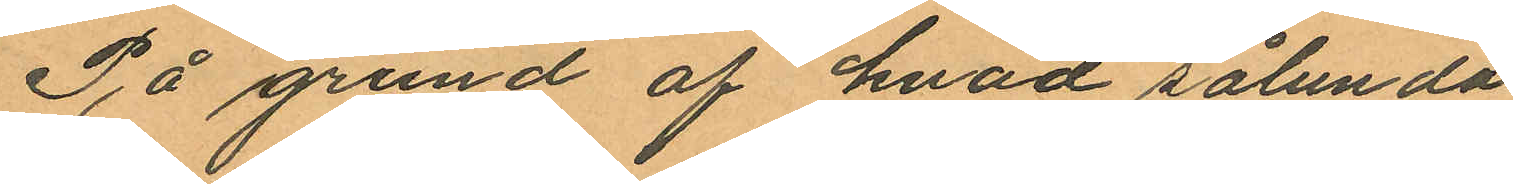På grund af hvad sålunda
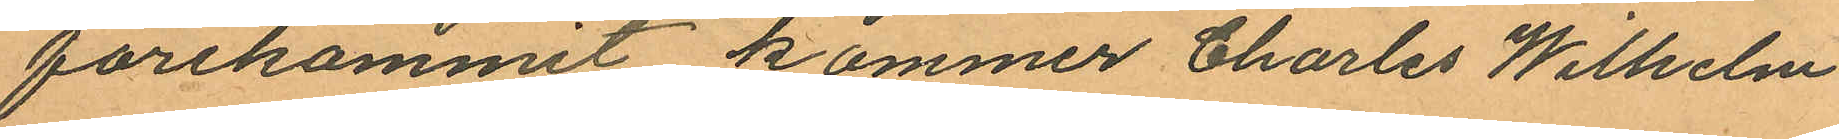förekommit kommer Charles Wilhelm
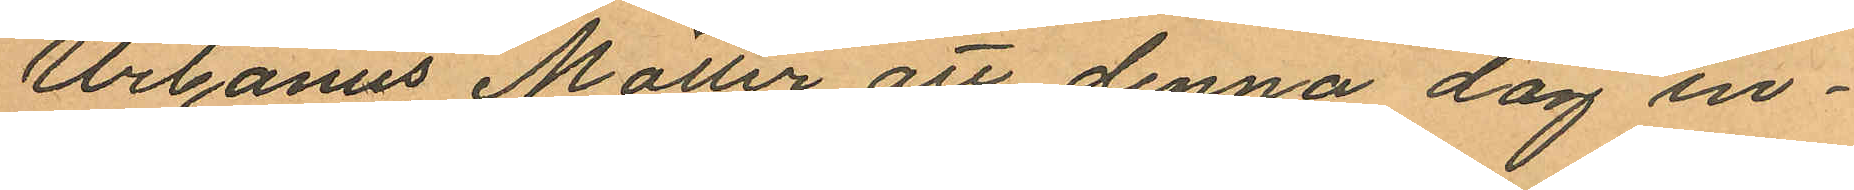Urbanus Möller att denna dag in¬
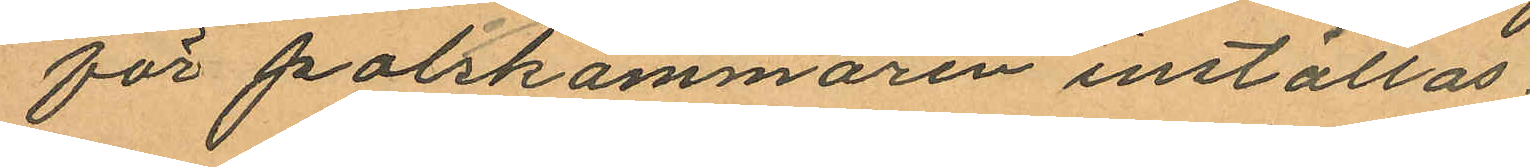för poliskammaren inställas.
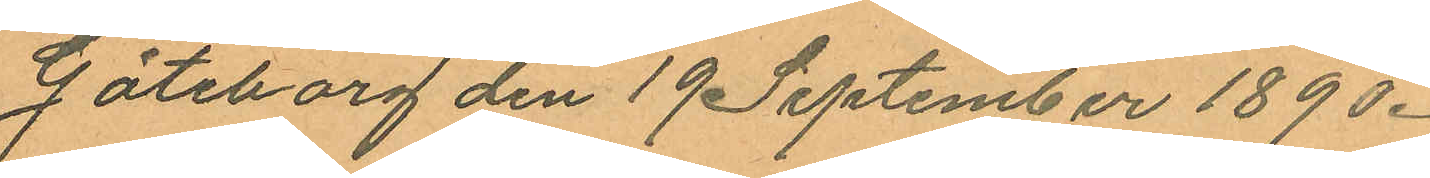Göteborg den 19 September 1890.
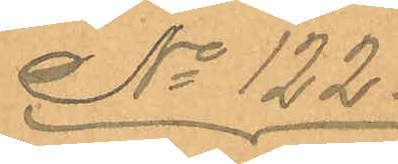No 122.
